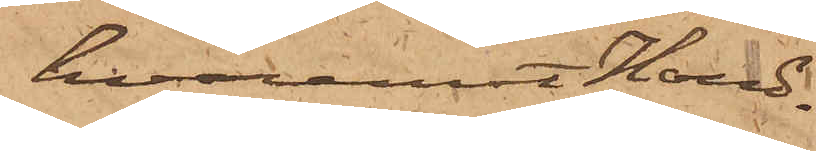hvaremot Hand¬
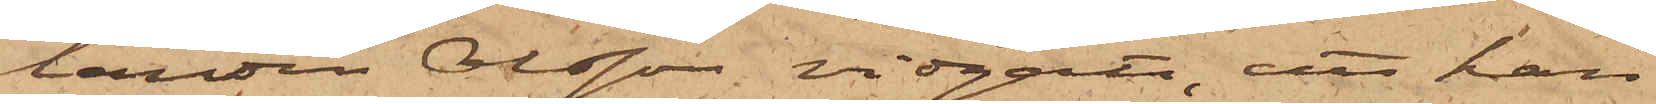landen Olsson vidgått, att han
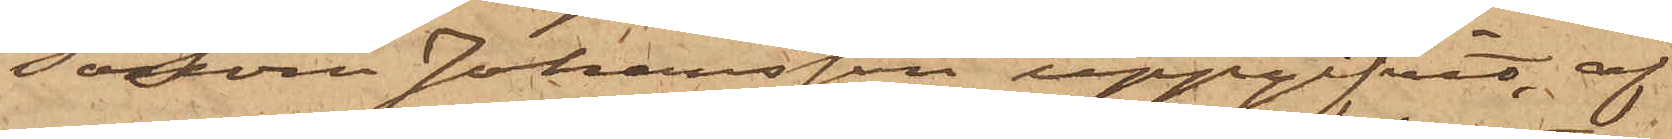såsom Johansson uppgifvit, af
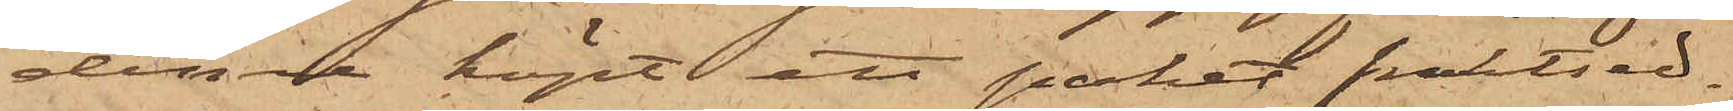denne köpt ett paket fraktsed¬
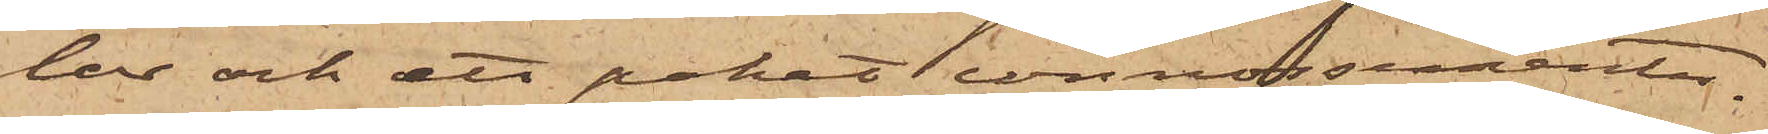lar och ett paket connossementer.
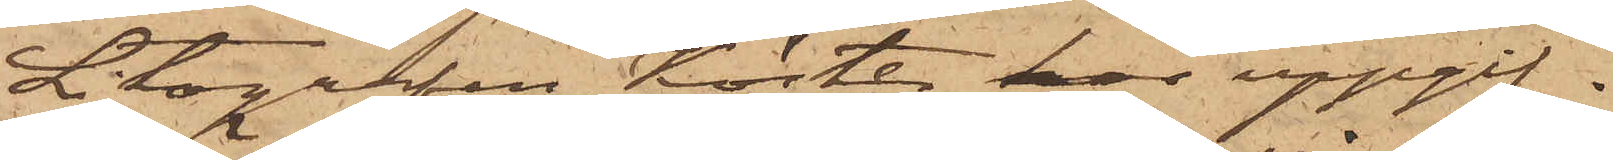Litografen Köster har uppgif¬
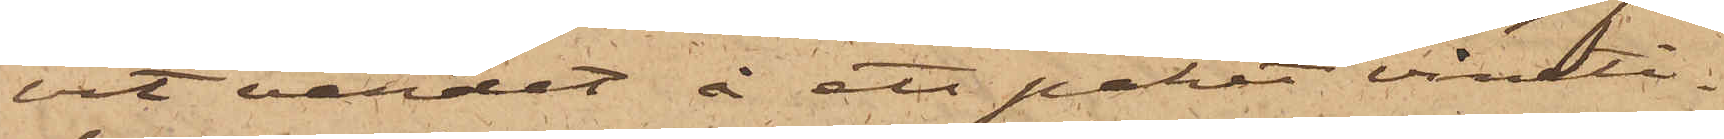vit värdet å ett paket vineti¬
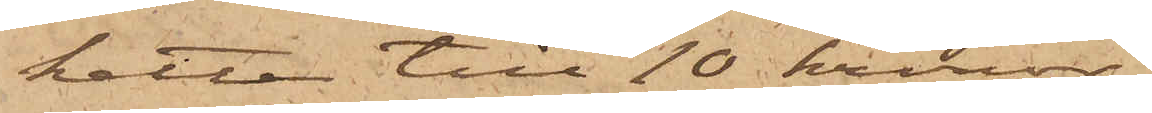ketter till 10 kronor
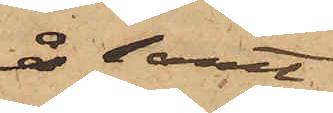å samt
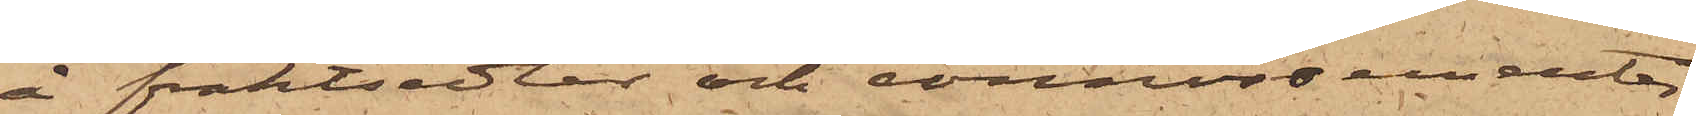å fraktsedlar och connossementer
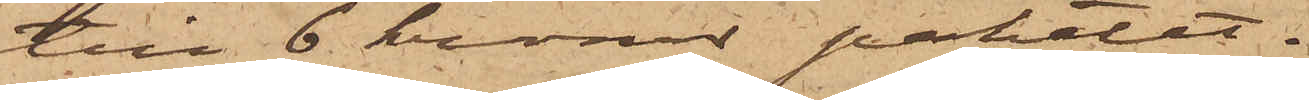till 6 kronor paketet.
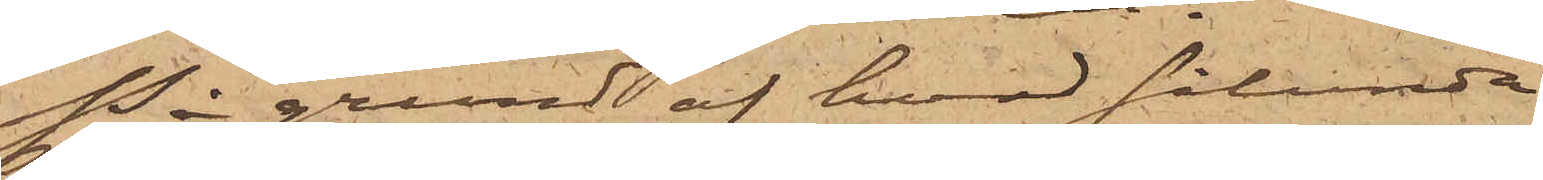På grund af hvad sålunda
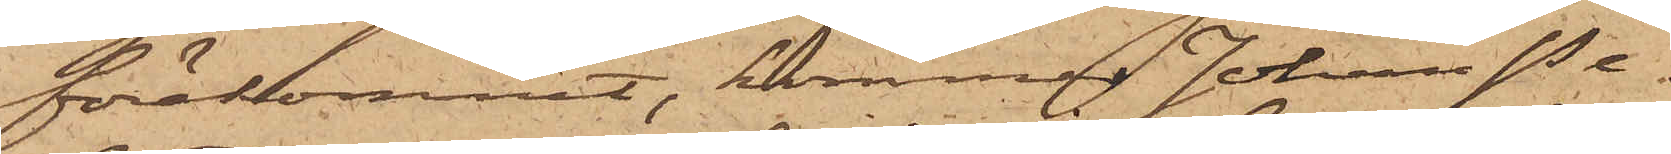förekommit, kommer Johan Pe¬
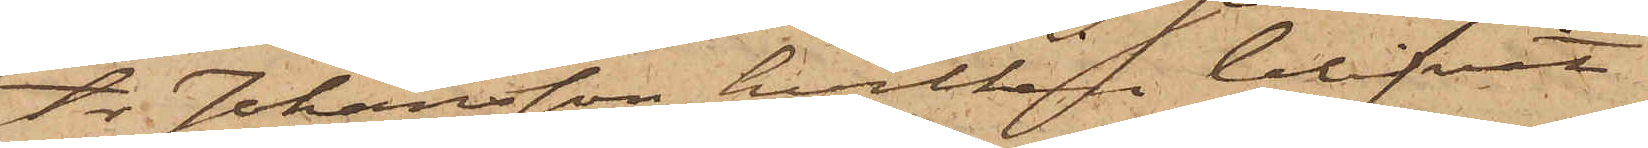ter Johansson, hvilken blifvit
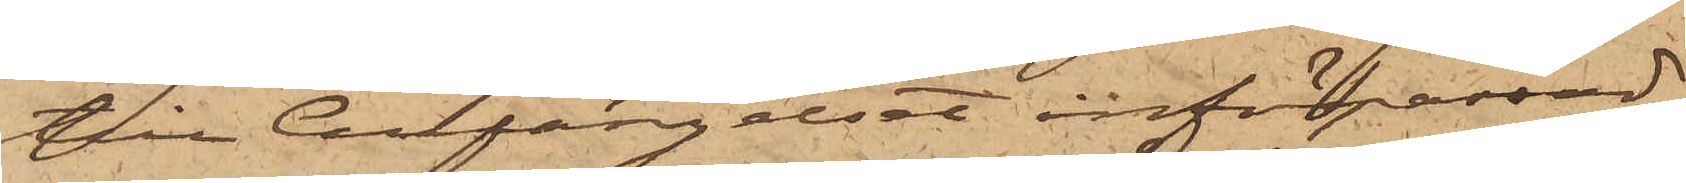till Cellfängelset införpassad,
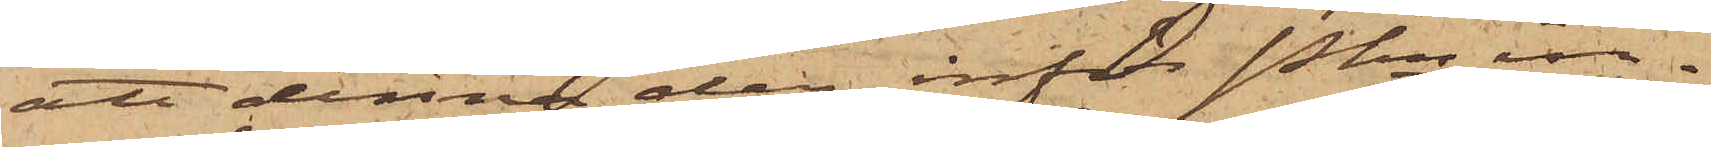att denna dag inför Pkn in¬
